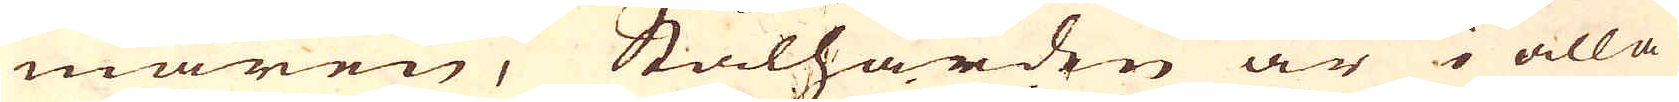maren; Stålhärden är i alla
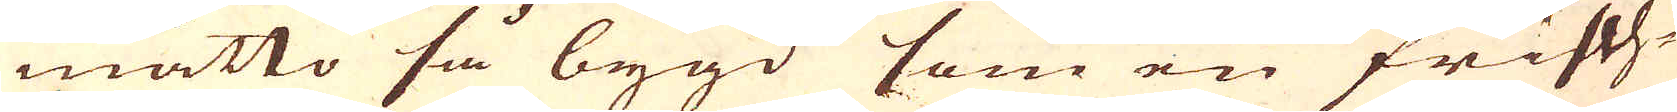måtto så bygd som en Frisch-
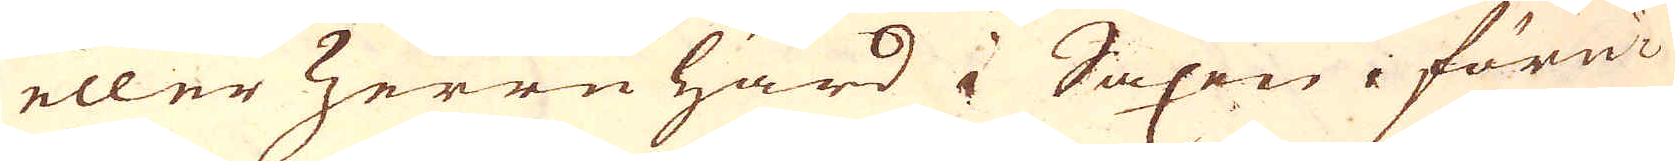eller Zerrnhärd i Saxen, föru-
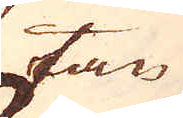tan
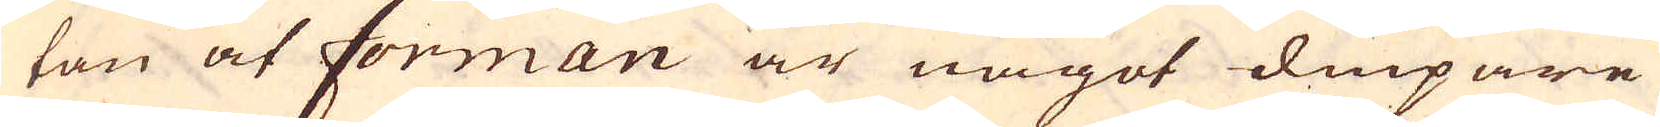tan at forman är något diupare
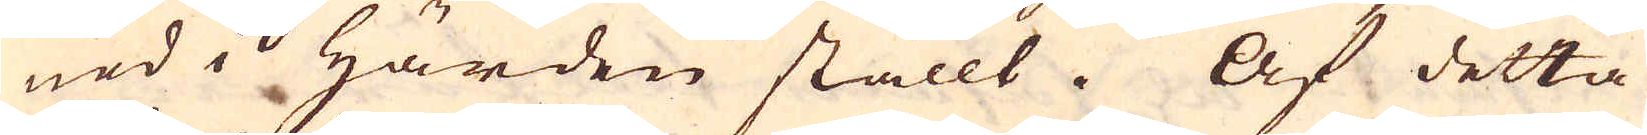ned i Härden ställt. Af detta
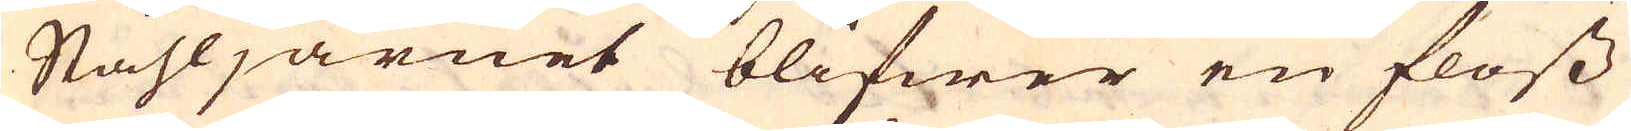Ståhljärnet blifwer en floss
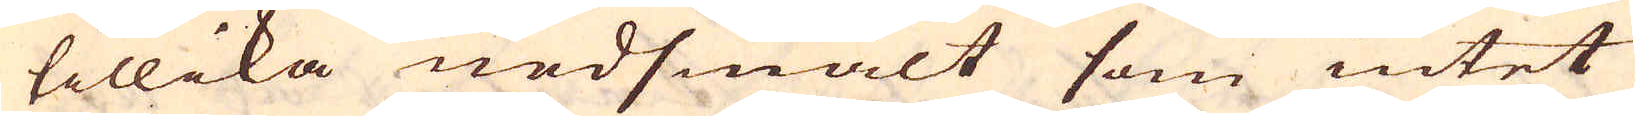tillika nedsmält som intet
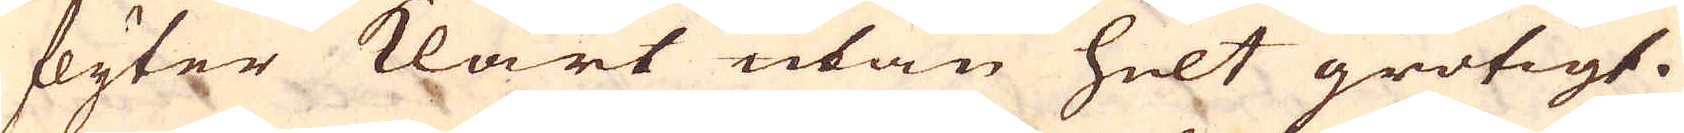flyter klart utan helt grötigt.
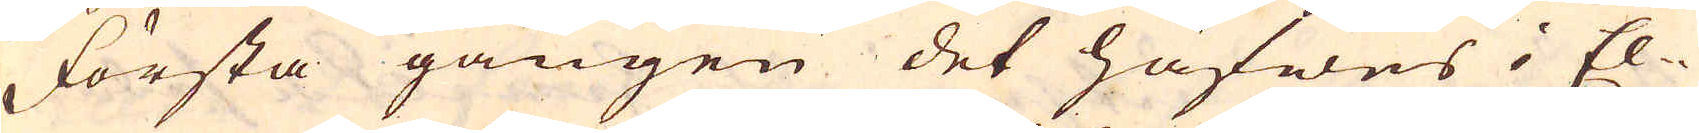Första gången det häfwes i El-
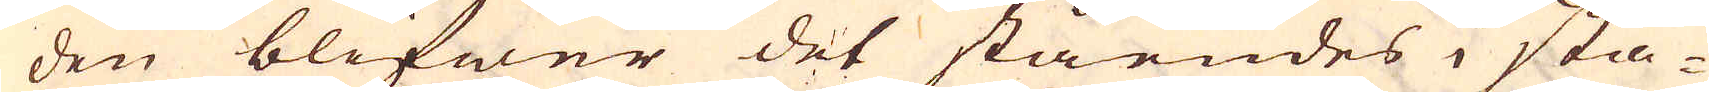den blifner det ståendes i sta-
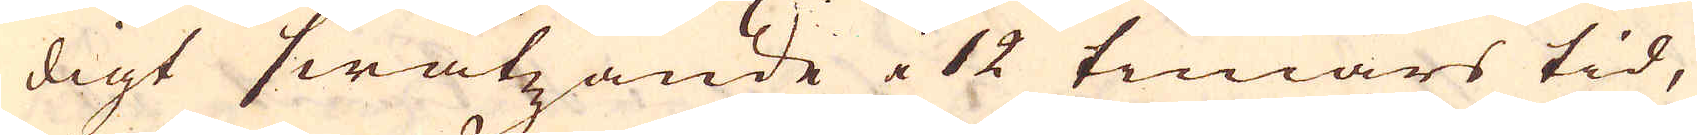digt swätzande i 12 timars tid,
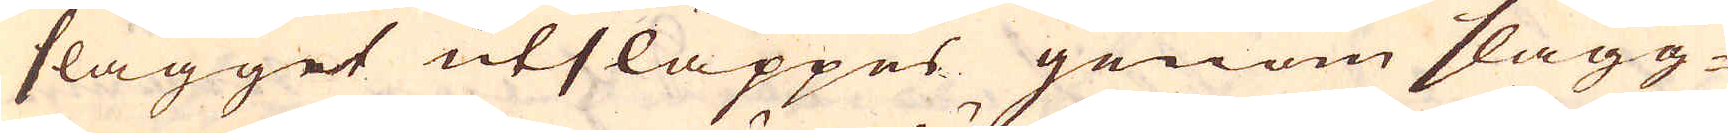slagget utsläppes genom slagg-
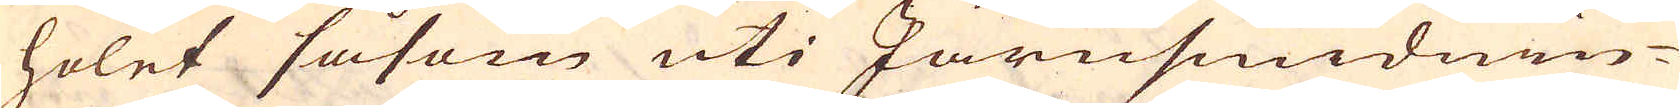holet såsom uti Järnsmidnin-
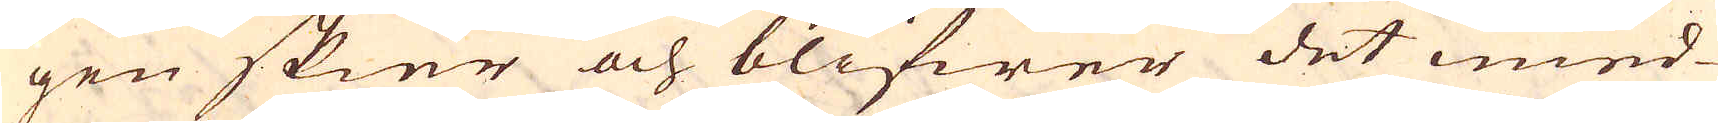gen skier och blifwer det imed-
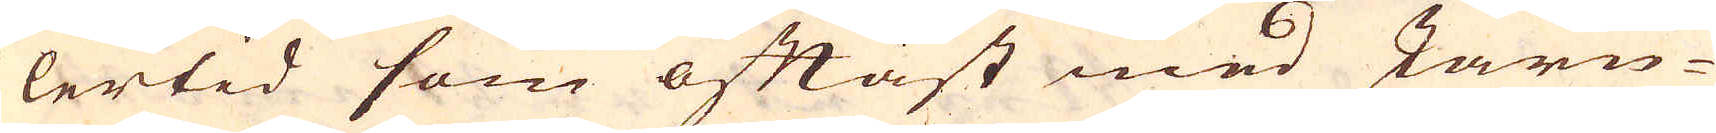lertid som oftast med Järn-
